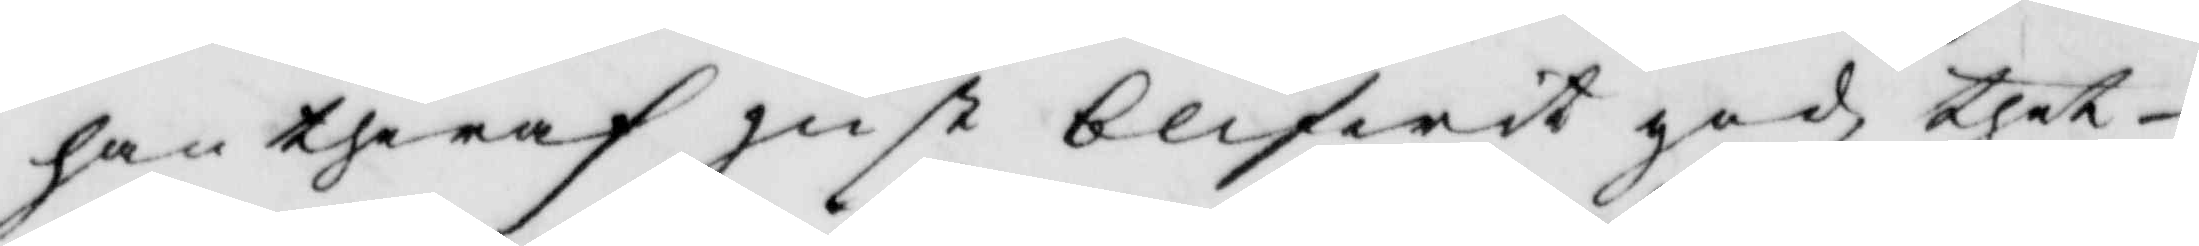han theraf just blifwit god, thet
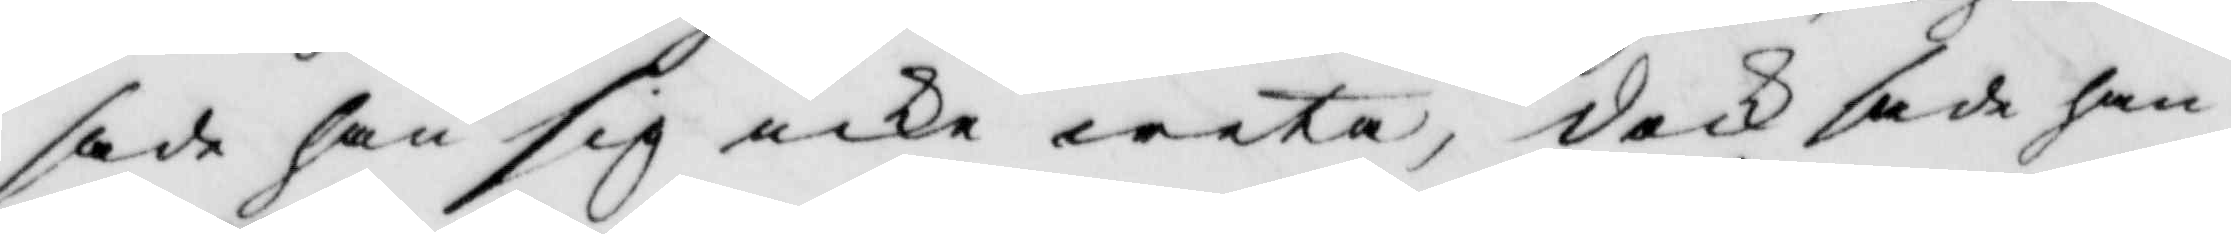sade han sig icke weta, dock sade han
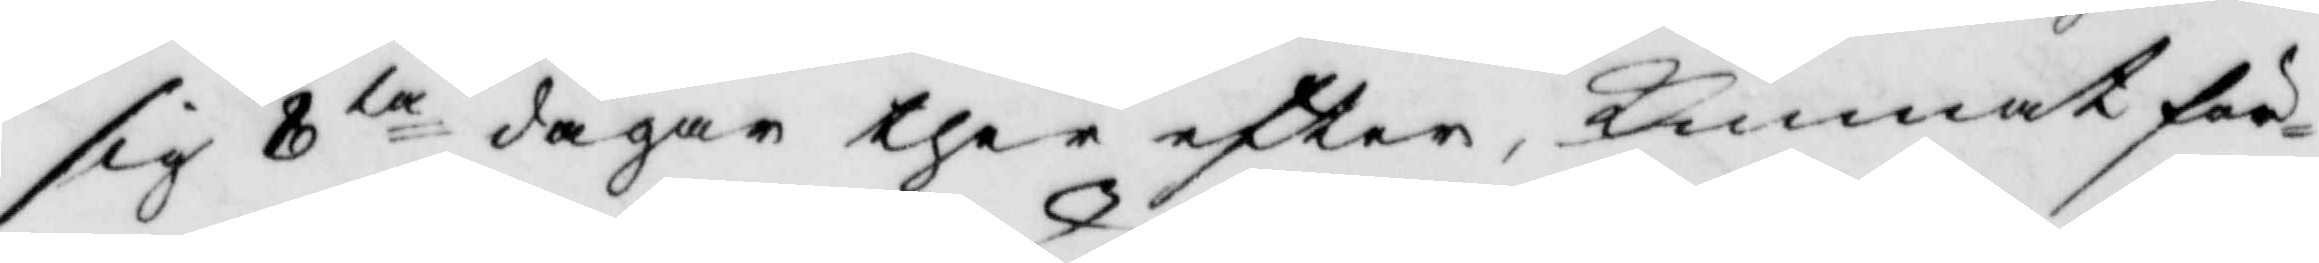sig 8ta dagar ther efter kunnat för¬
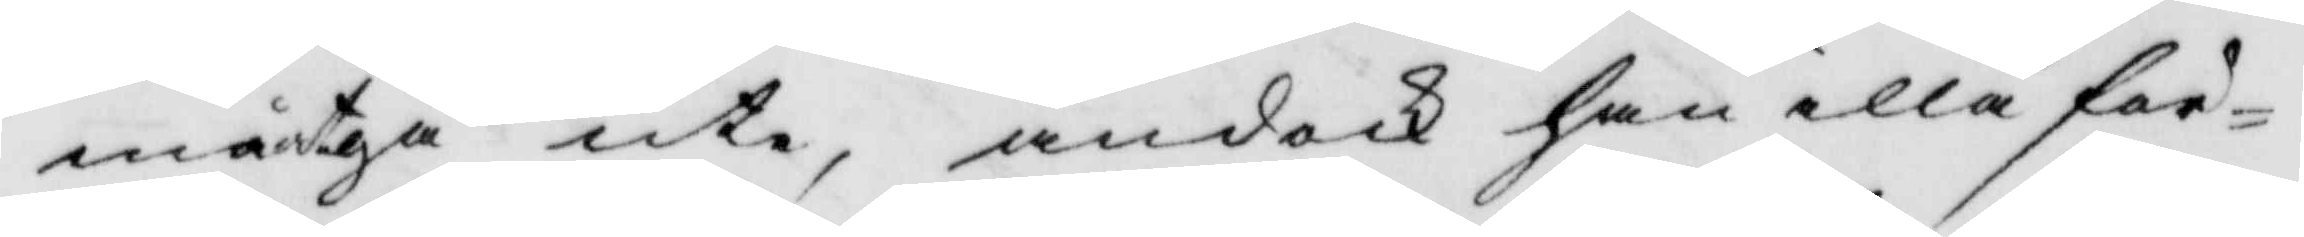må åtgå ute, ändock han illa för¬
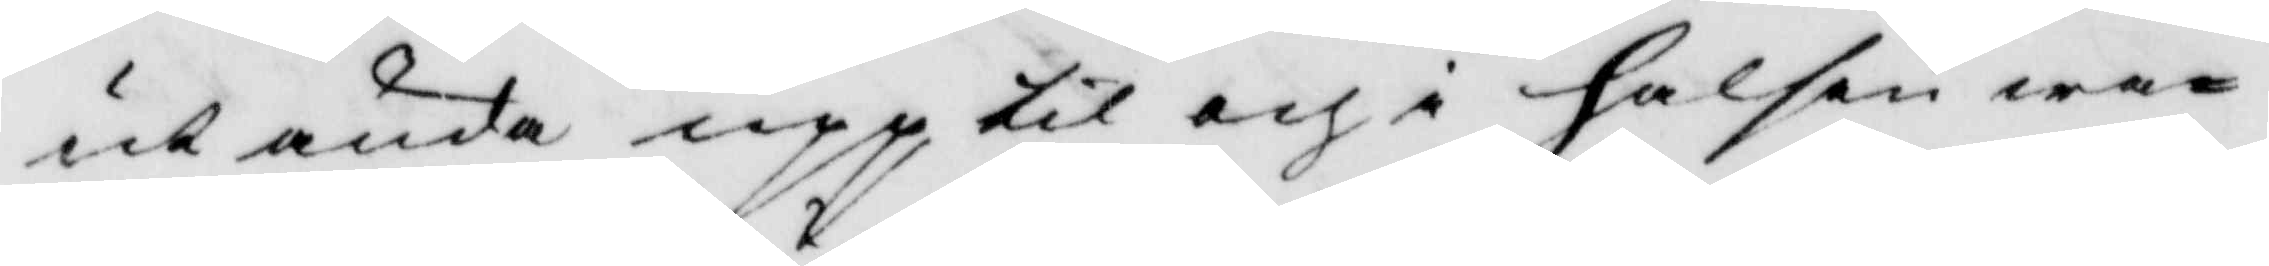ut ända upp til och i halsen wa¬
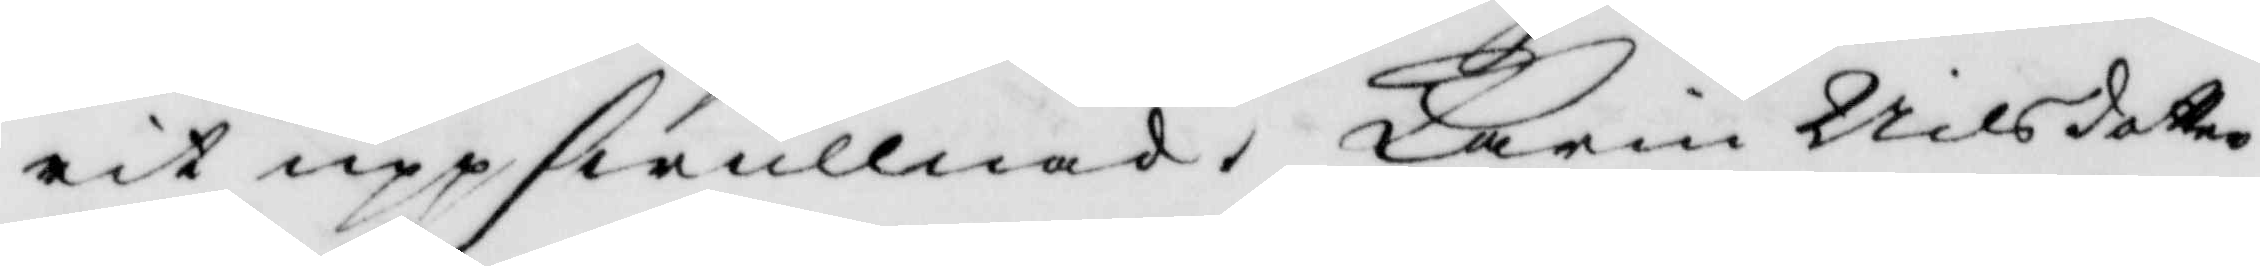rit uppswullnad. Karin Nilsdotter
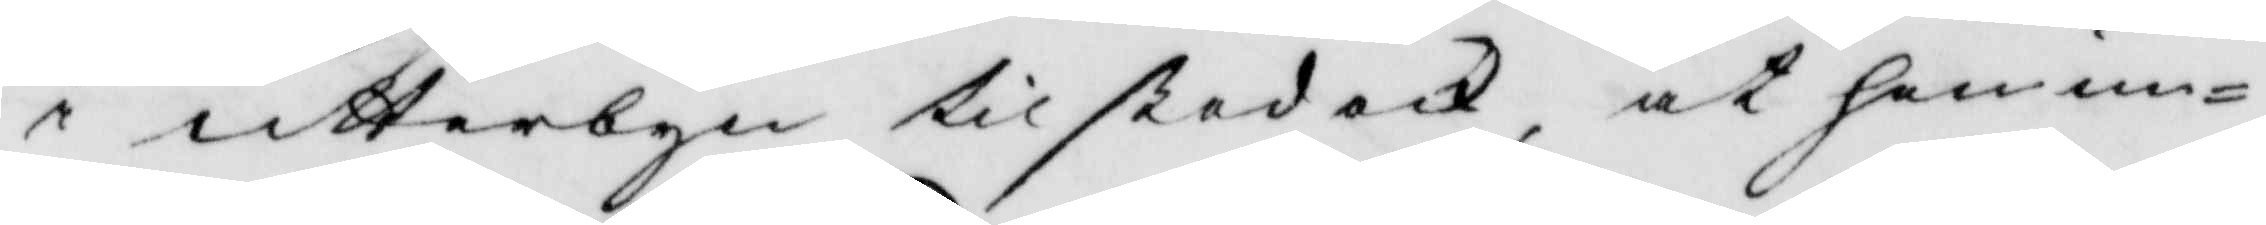i utterbyn tilstod ock at hon un¬
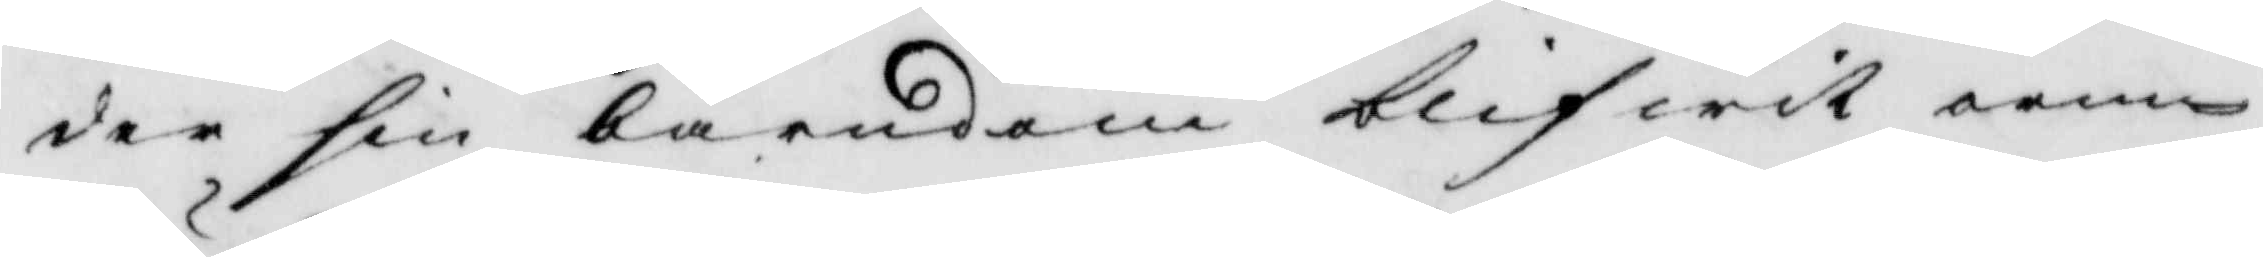der sin barndom blifwit orm¬
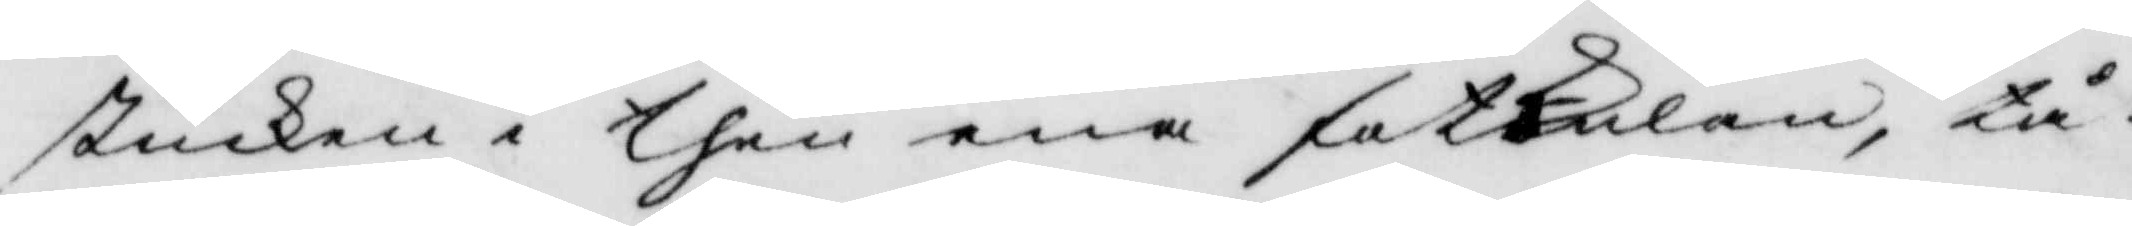stucken i then ena fotknölen, tå
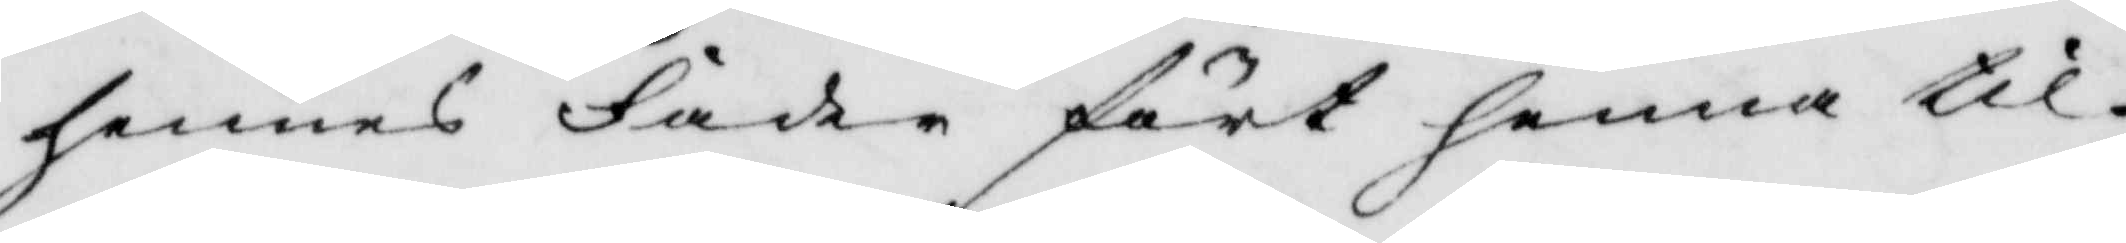hennes Fader fört henne til
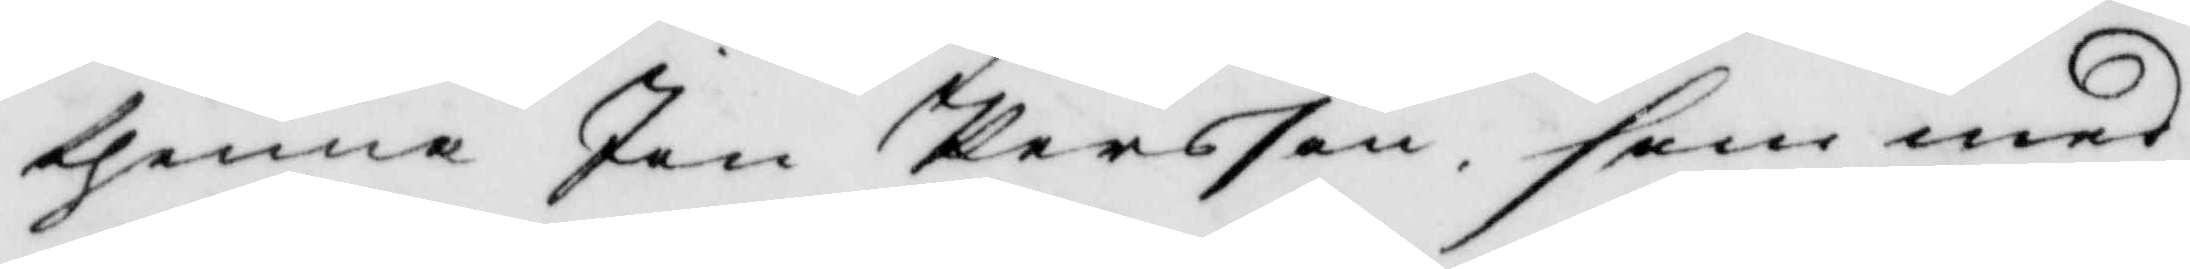thenna Jon Persson som med
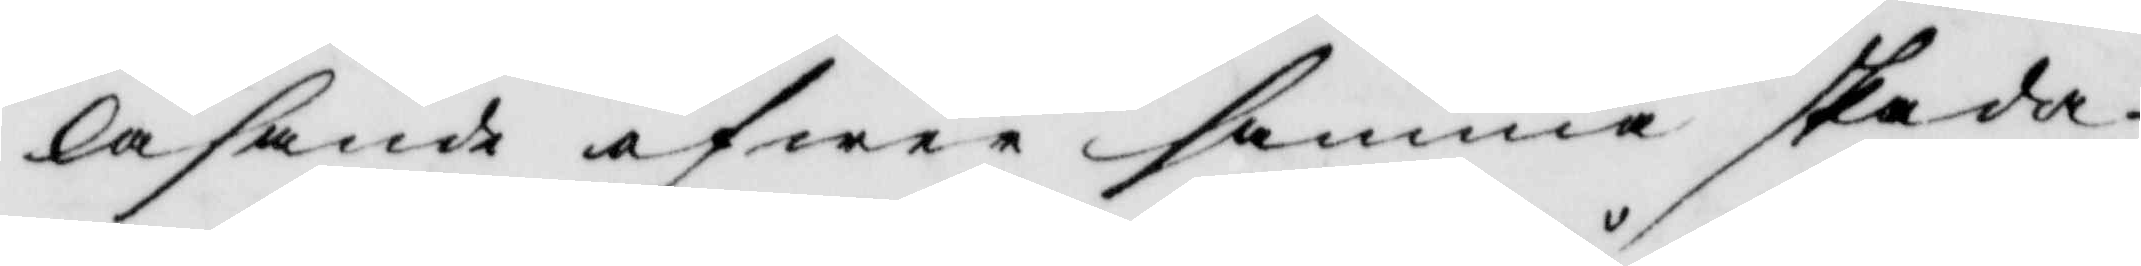läsande öfwer samma skada
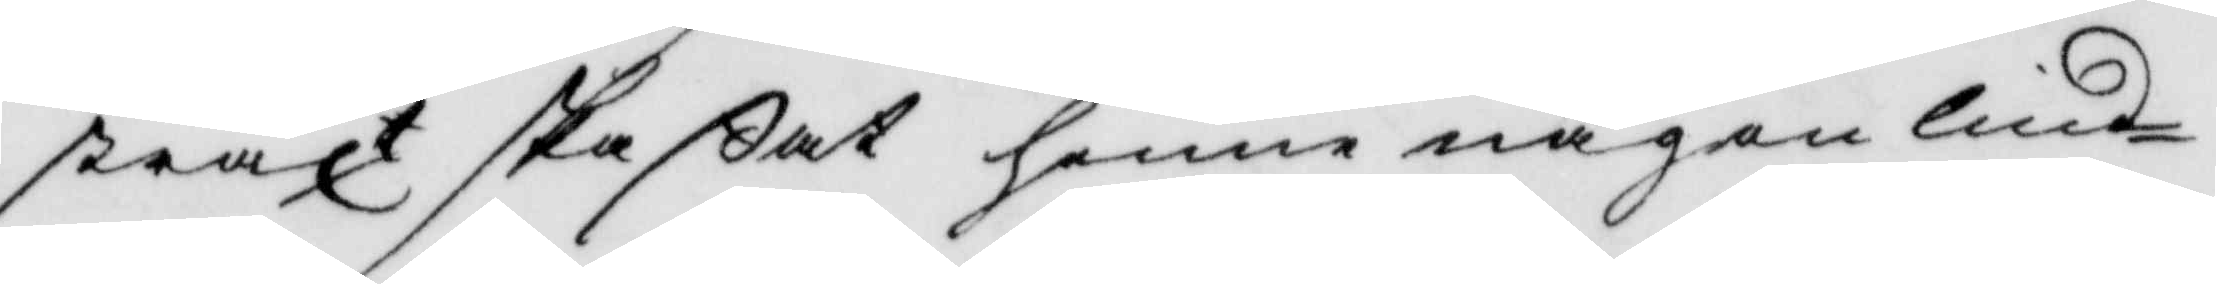straxt skaßat henne någon lind¬
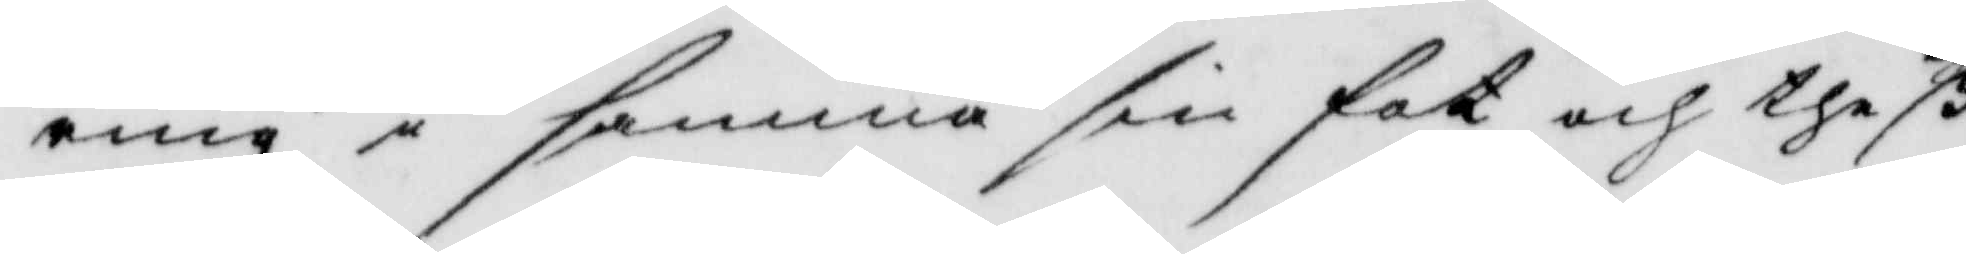ring i samma sin fot och theß
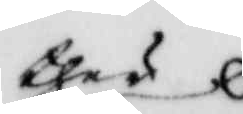 ther
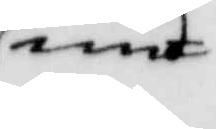und¬
